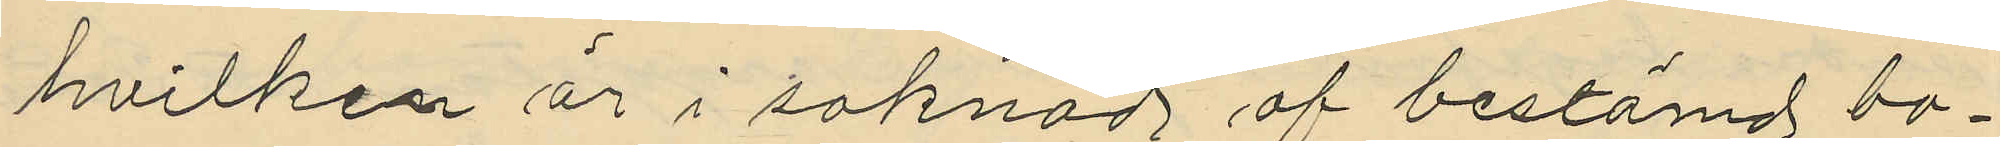hvilken är i saknad af bestämd bo¬
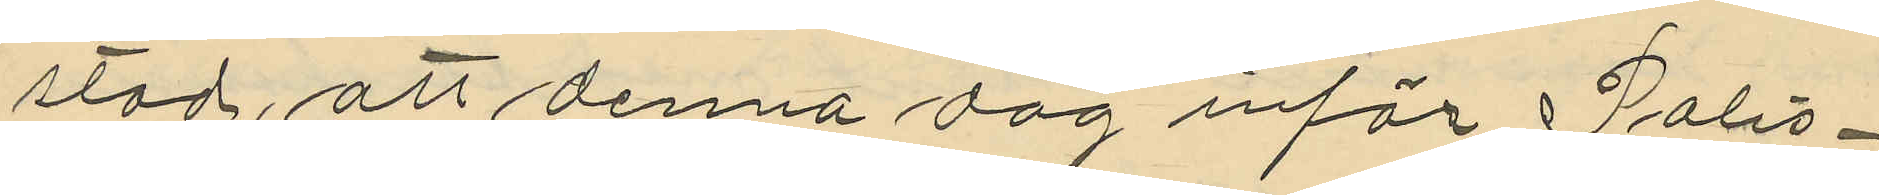stad, att denna dag inför Polis¬
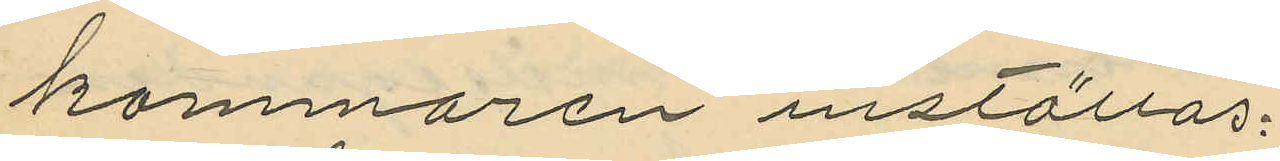kammaren inställas.
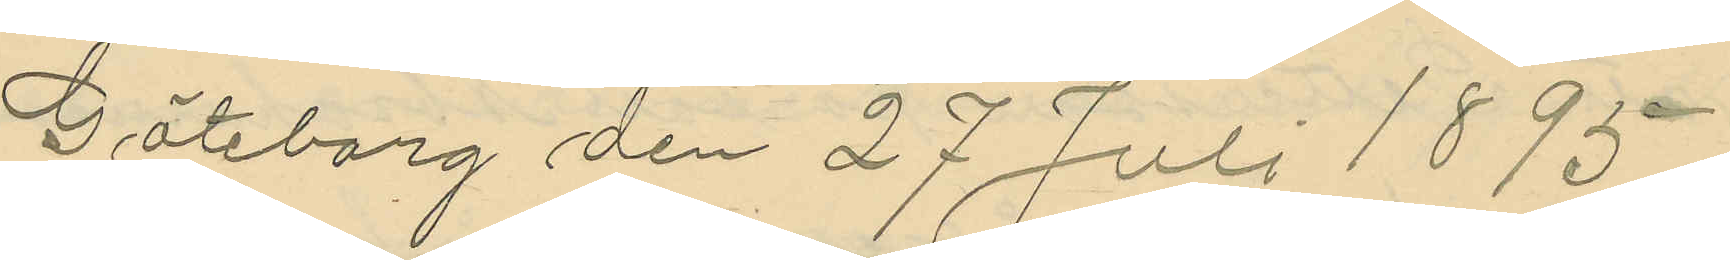Göteborg den 27 Juli 1895
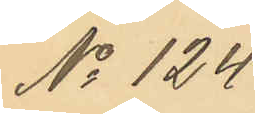No 124
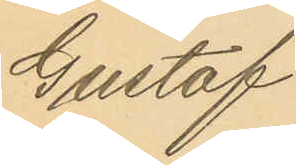Gustaf
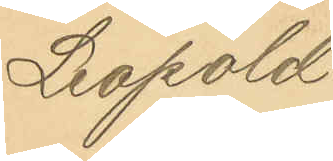Leopold
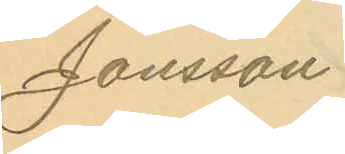Jönsson.
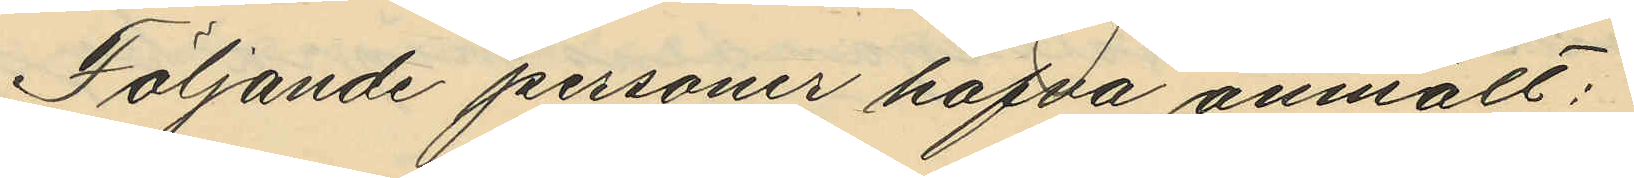Följande personer hafva anmält:
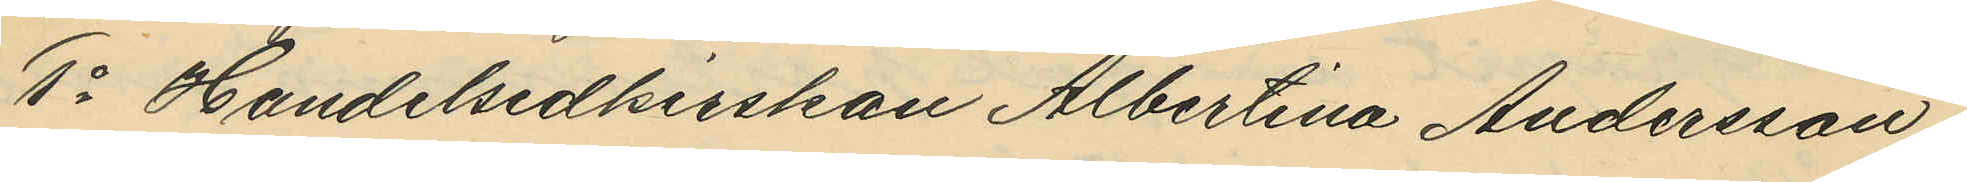1o Handelsidkerskan Albertina Andersson,
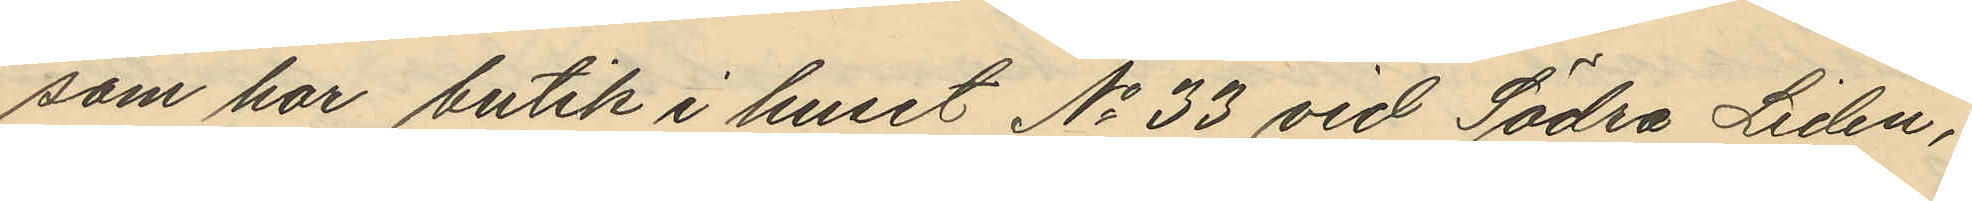som har butik i huset No 33 vid Södra Liden,
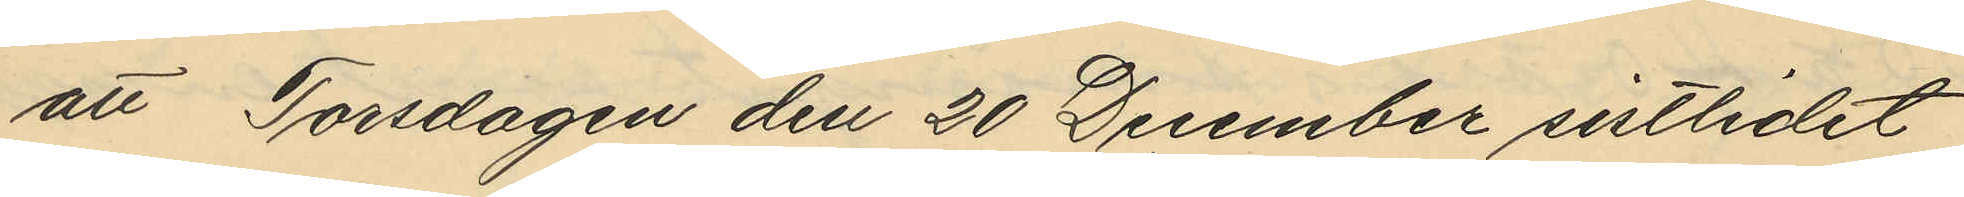att Torsdagen den 20 December sistlidet
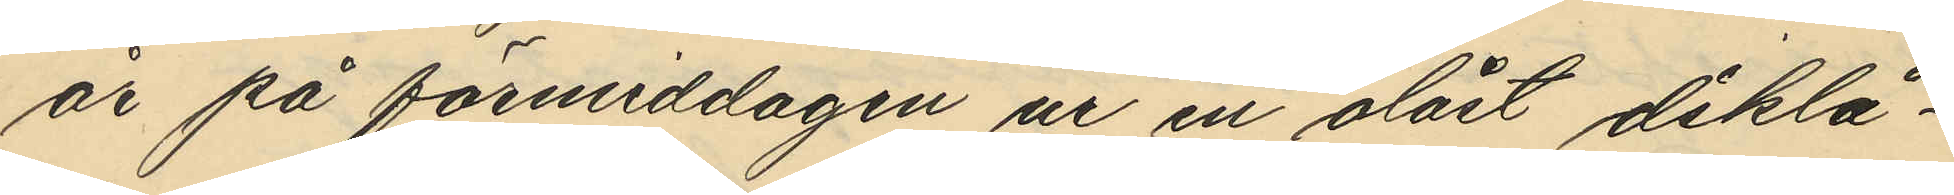år på förmiddagen ur en olåst disklå¬
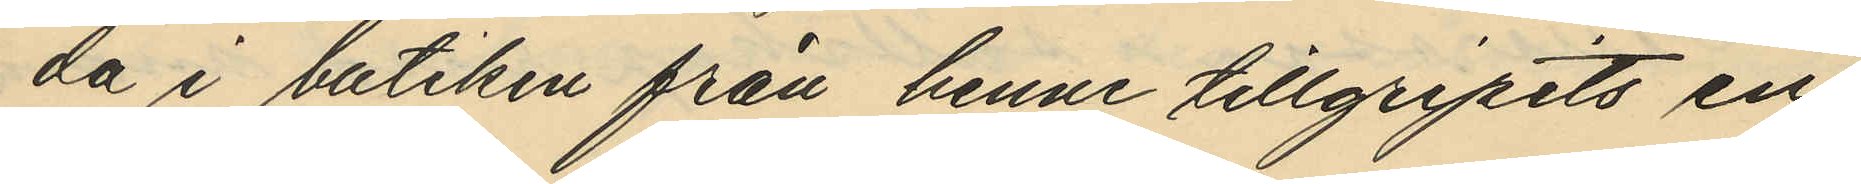da i butiken från henne tillgripits en
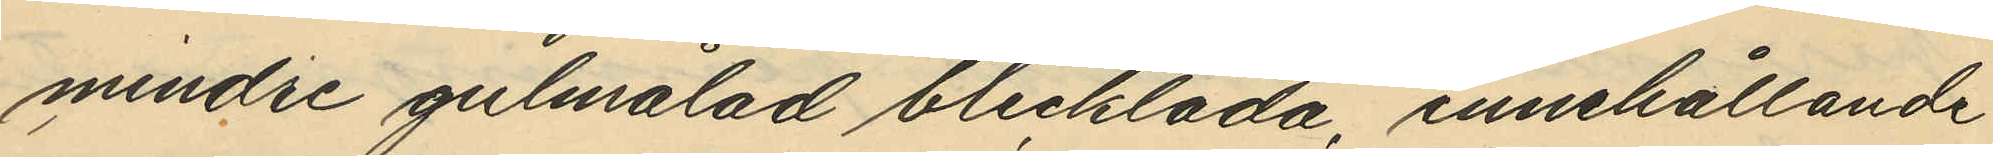mindre gulmålad blecklåda, innehållande
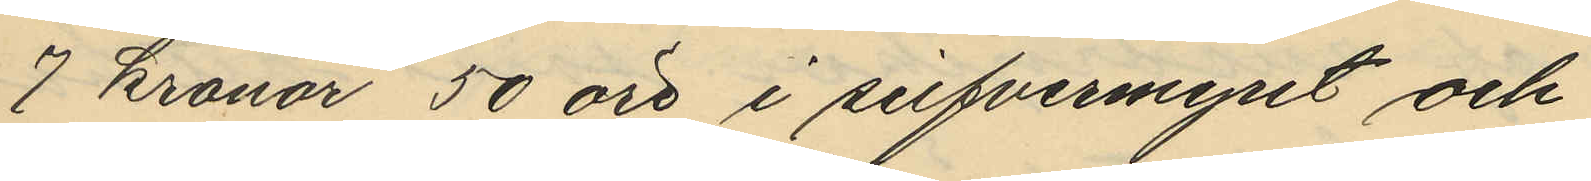7 kronor 50 öre i silfvermynt och
